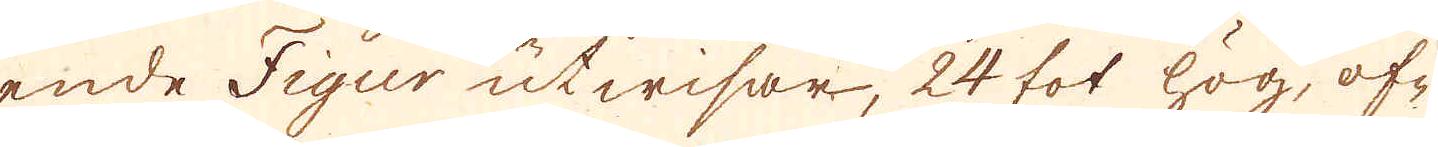ende Figur utwisar, 24 fot hög, of-
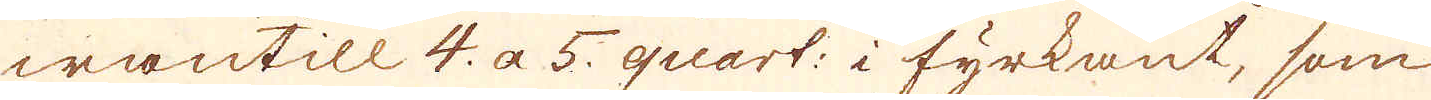wantill 4 a 5. quart: i fyrkant, som
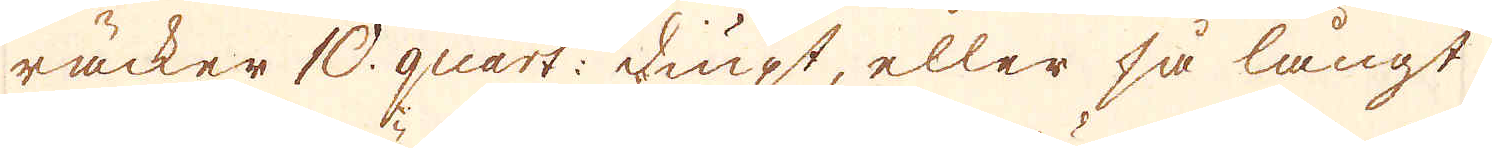räcker 10 quart: diupt, eller så långt
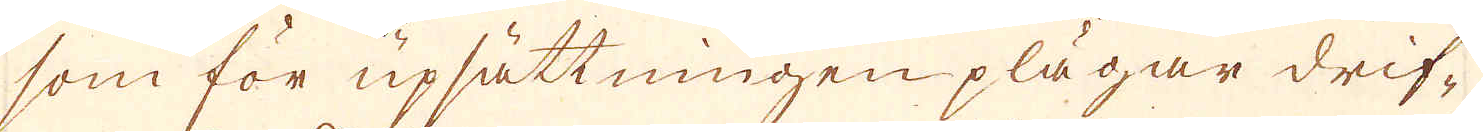som för upsättningen plägar drif-
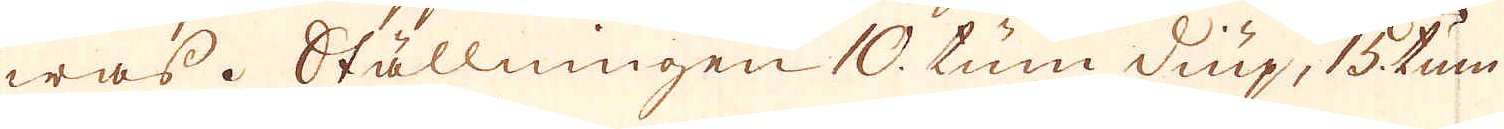was. Ställningen 10 tum diup, 15 tum
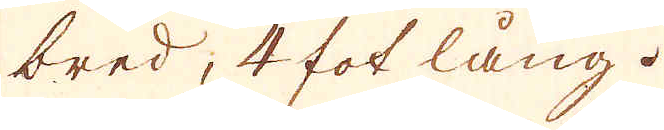bred, 4 fot lång.
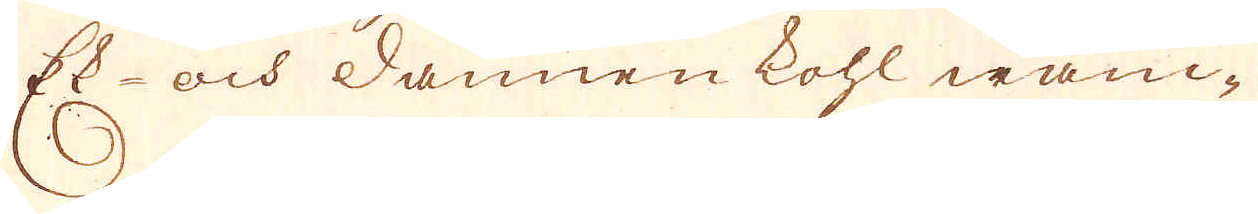Ek- och Dannen kohl wanc-
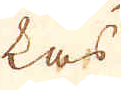kas
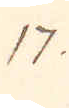17.
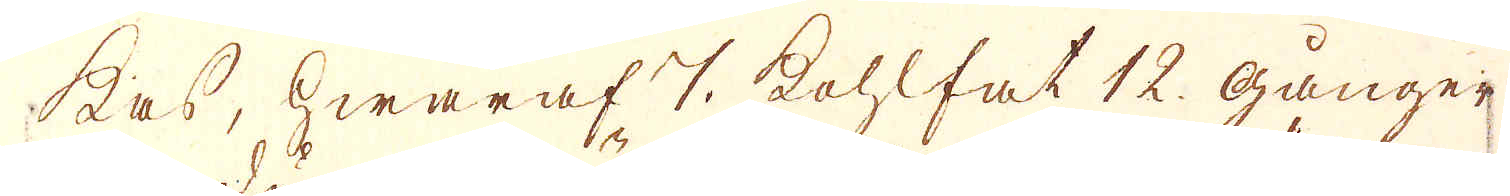kas, hwaraf 7 kohlfat 12 gånger
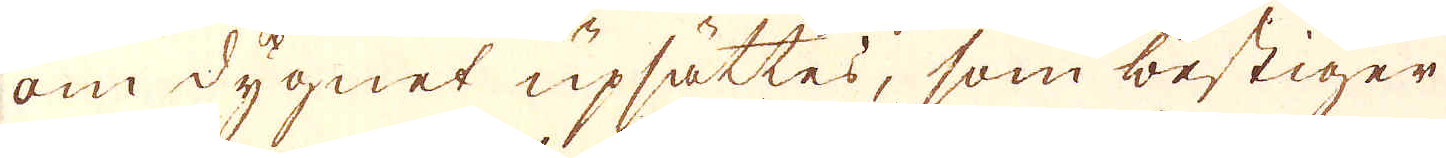om dygnet upsättes, som bestiger
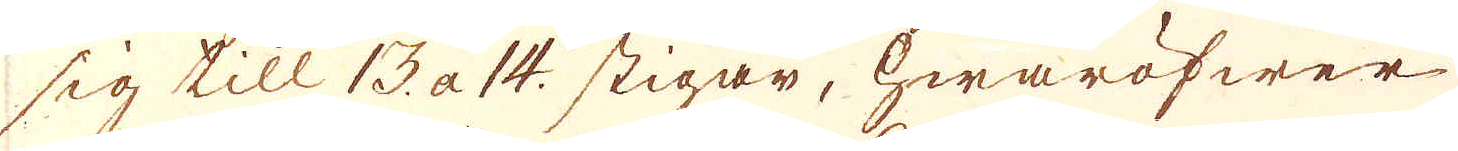sig till 13 a 14. stigar, hwaröfwer
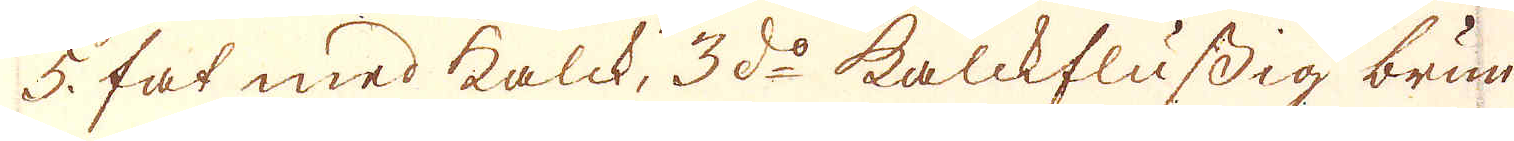5 fat med kalck, 3 d:o kalckflussig brun
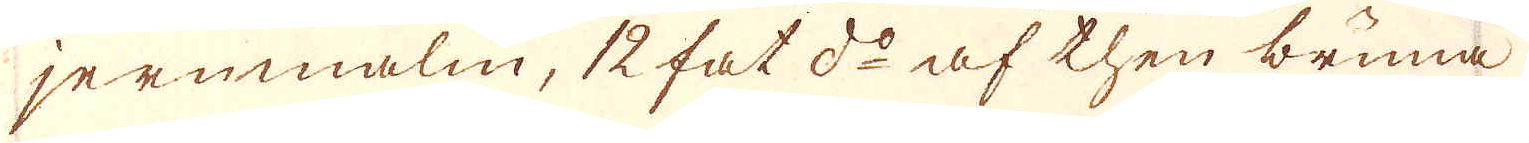jernmalm, 12 fat d:o af then bruna
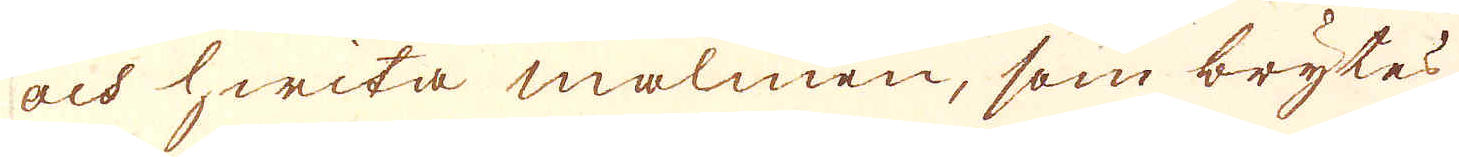och hwita malmen, som brytes
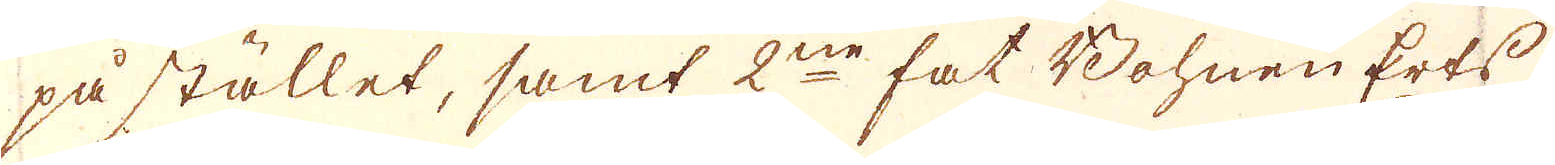på stället, samt 2ne fat Bohnen Erts
